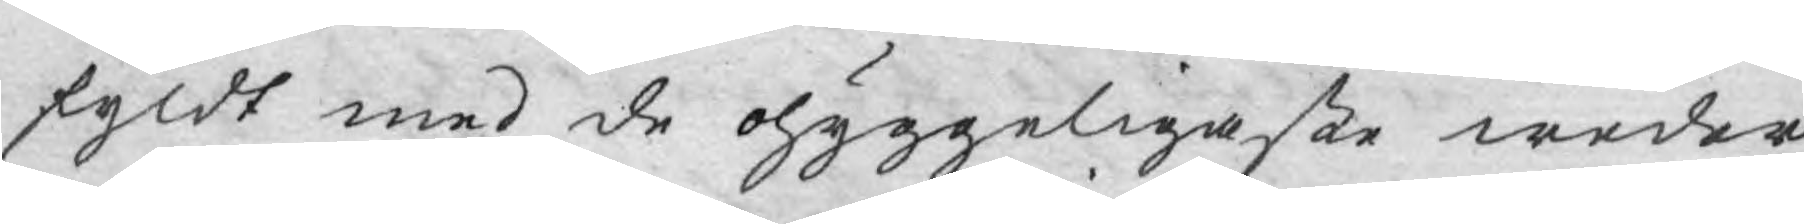fyldt med de ohyggeligaste weder¬
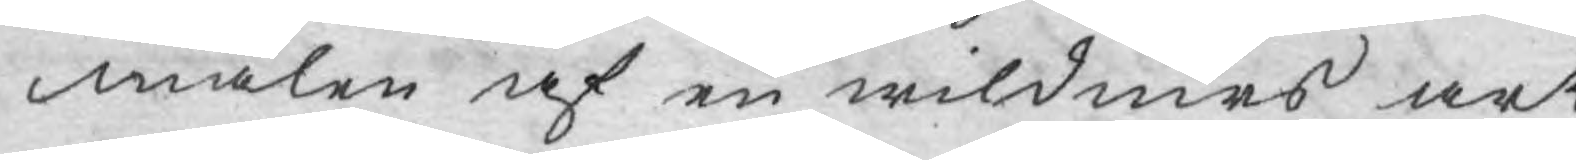mälen af en wildiurs art.
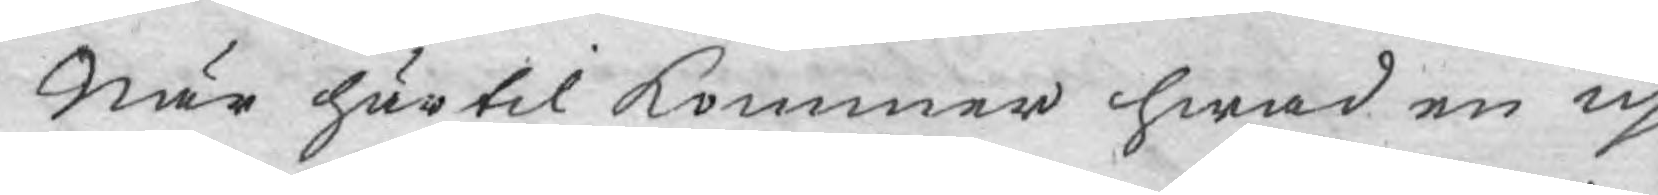När härtil kommer hwad en up¬
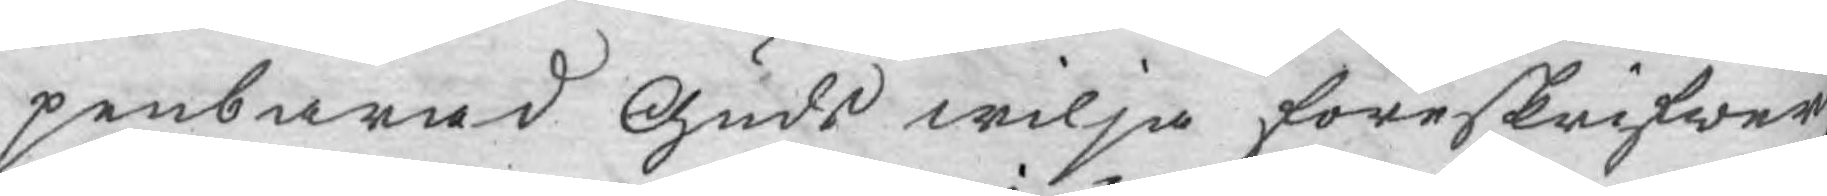penbarad Guds wilja föreskrifwer,
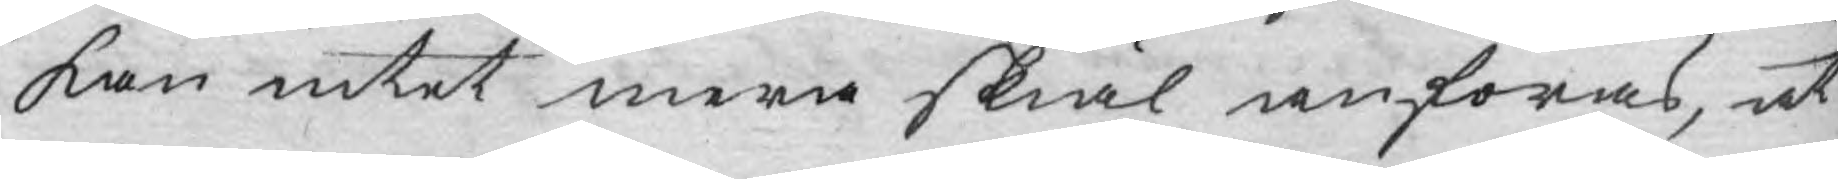kan intet mera skiäl anföras, at
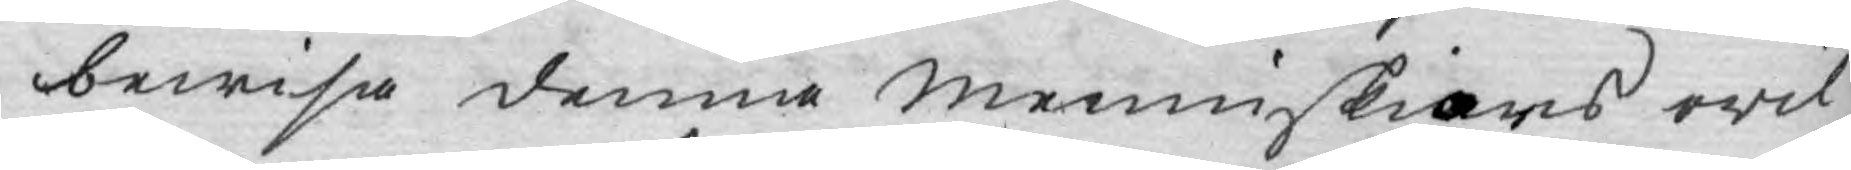bewisa denna menniskians owil¬
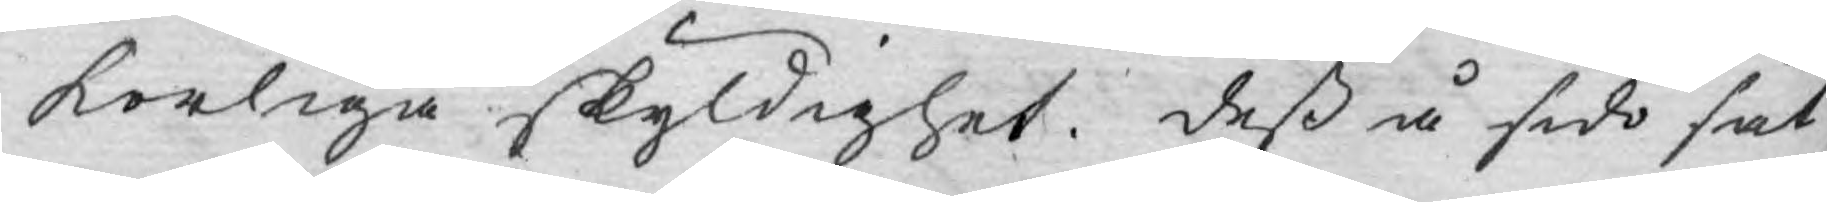korliga skyldighet. deß å sido sät¬
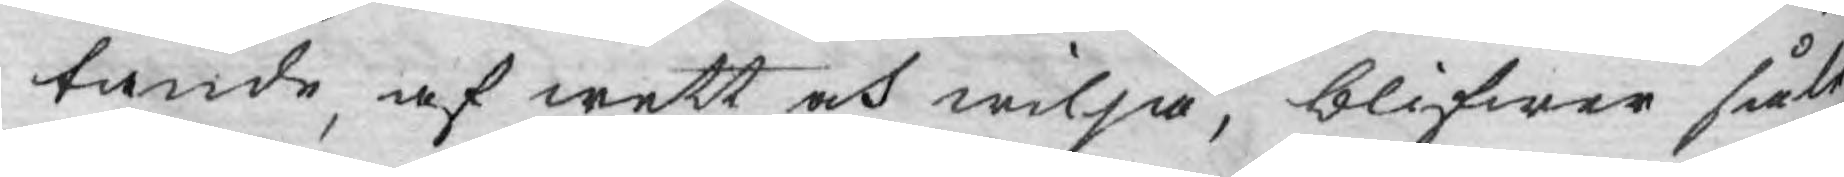tande af wett och wilja, blifwer såle¬
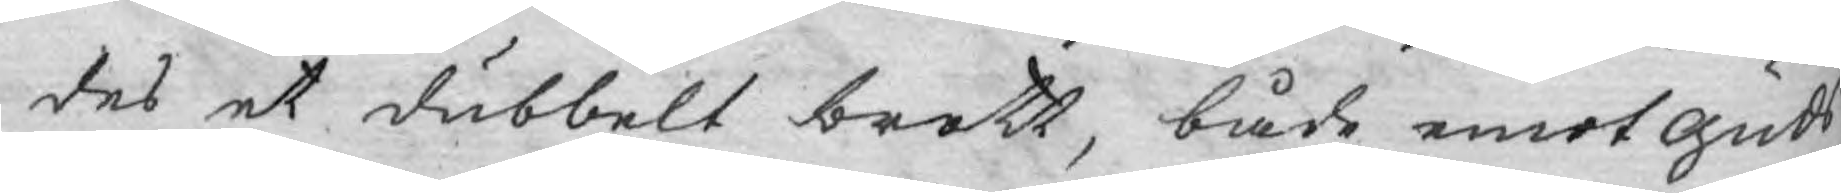des et dubbelt brott, både emot guds
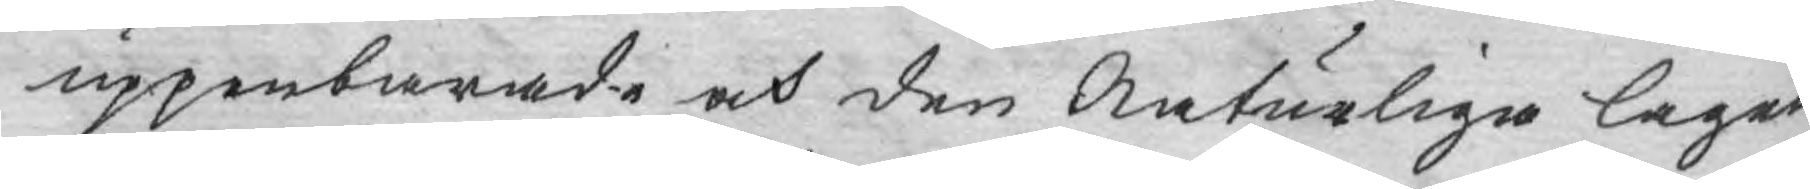uppenbarade och den Naturliga lagen.
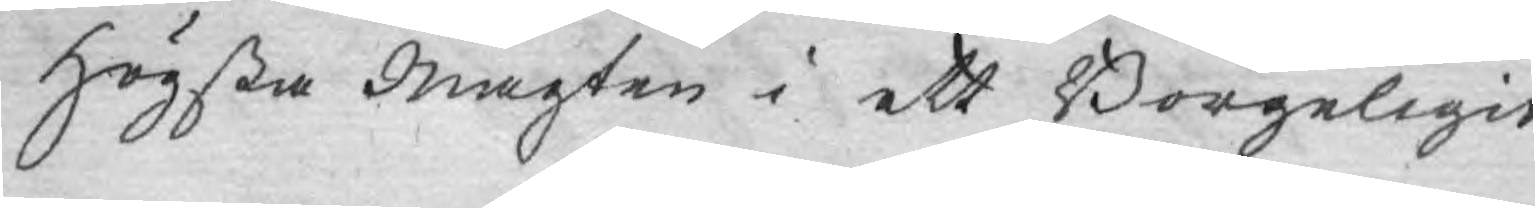Högsta Magten i ett Borgeligit
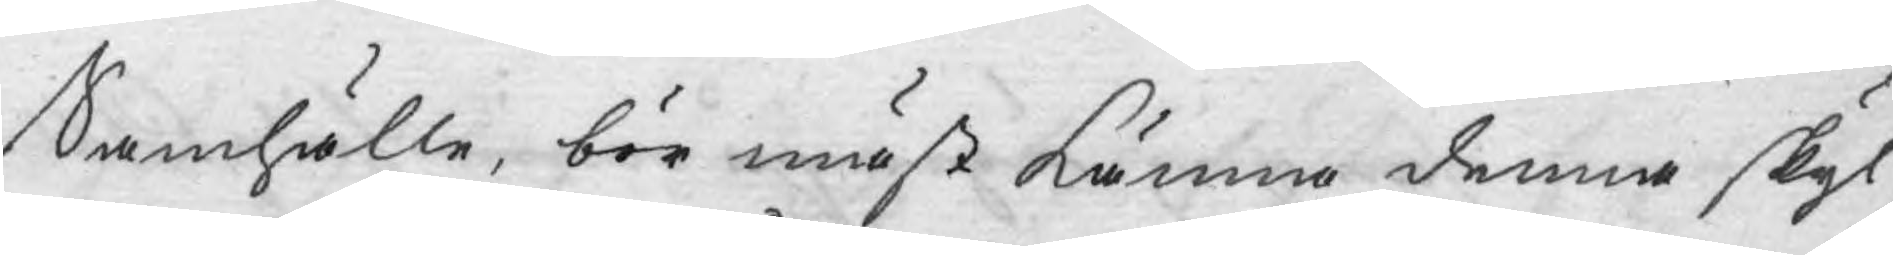Samhälle, bör mäst känna denna skyl¬
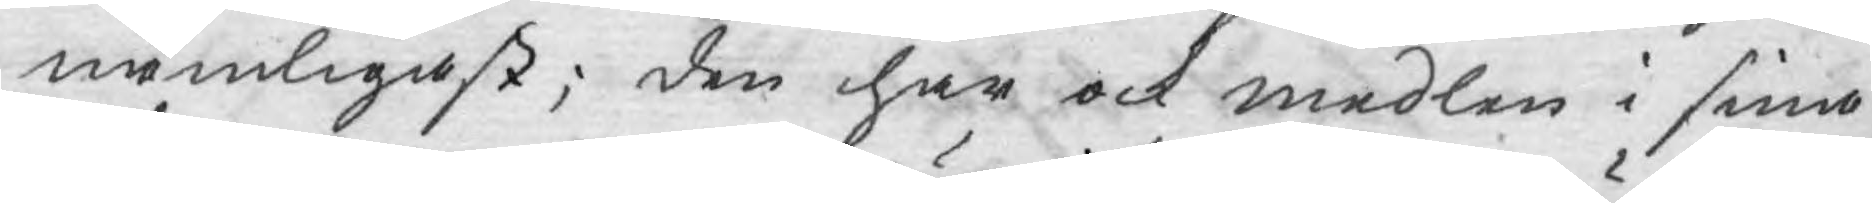nämligast; den har ock medlen i sina
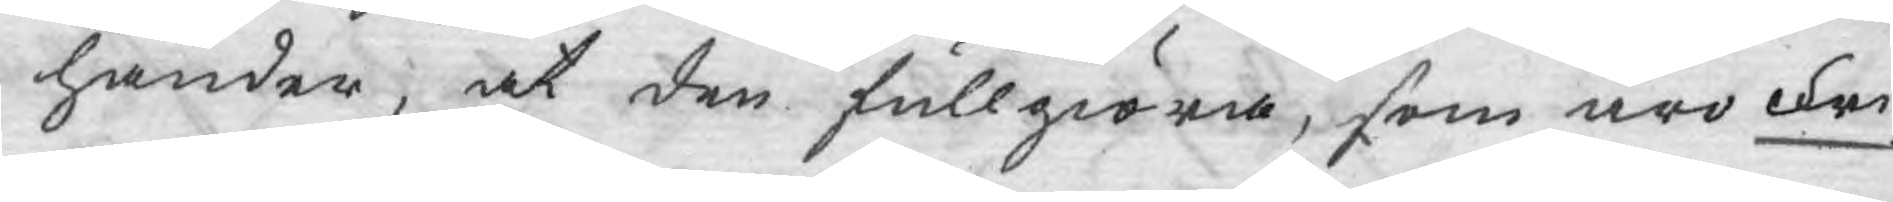händer, at den fullgiöra, som äro Fri¬
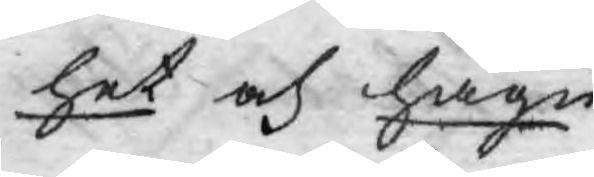het och hägn.
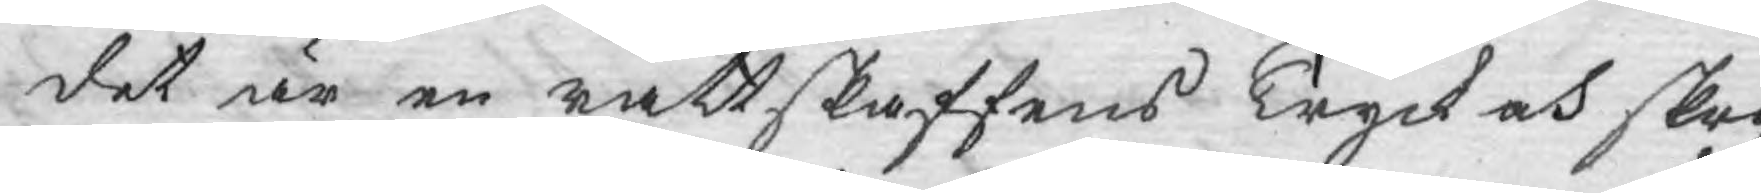det är en rättskaffens Tryck och skrif¬
